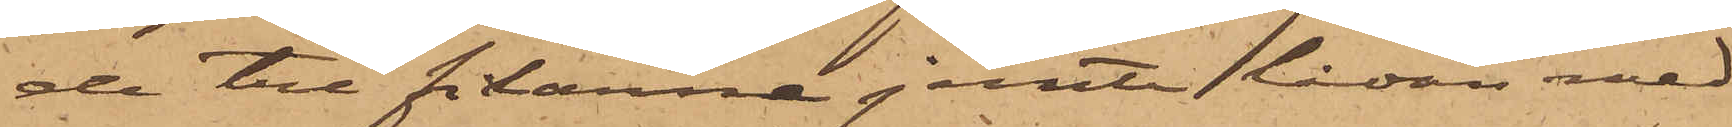de tre filarna jemte lådan med
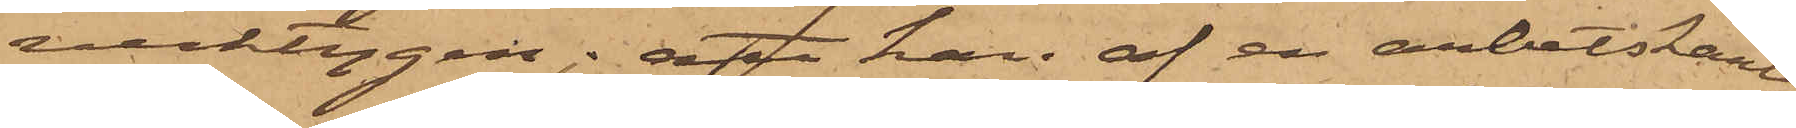verktygen; att han af en arbetskarl
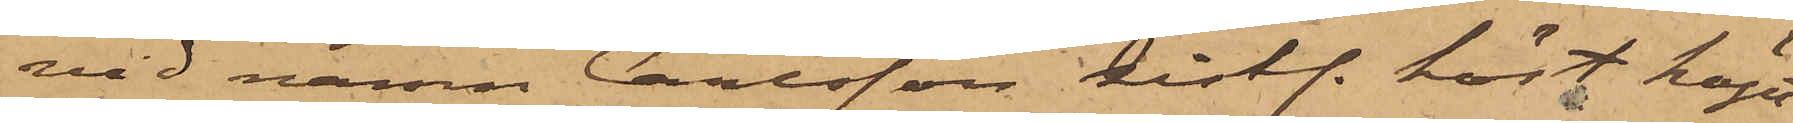vid namn Carlsson sistl. höst köpt
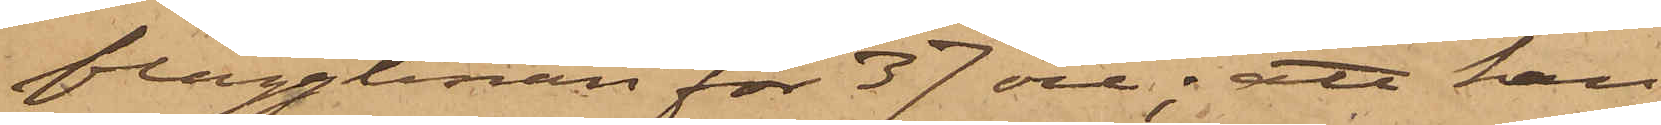flagglinan för 37 öre; att han
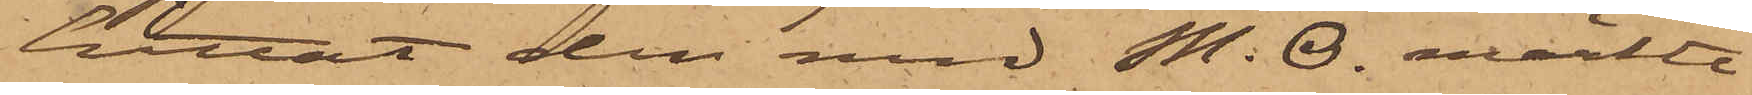hittat den med M. O. märkte
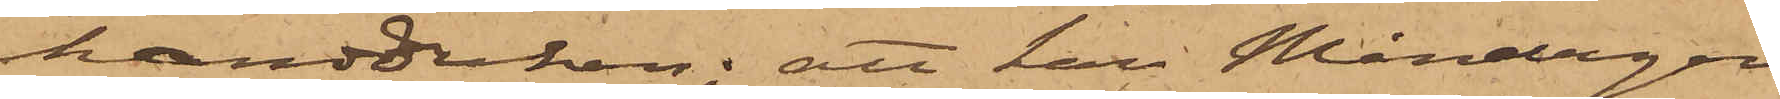handduken; att han Måndagen
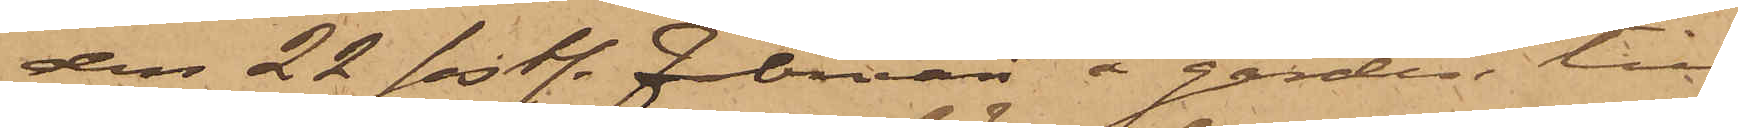den 22 sistl. Februari å gården till
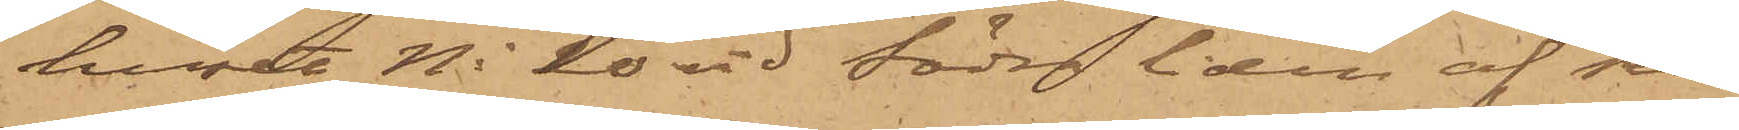huset No 20 vid Södra liden af sin
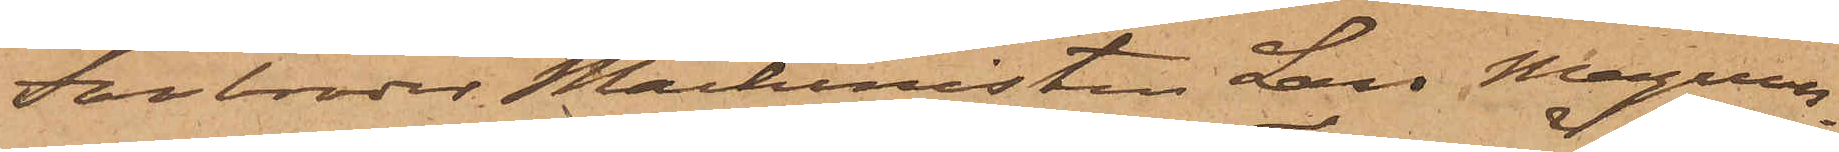Farbroder Maskinisten Lars Magnus¬
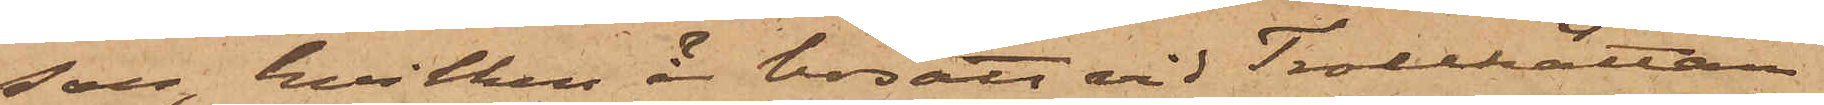son, hvilken är bosatt vid Trollhättan
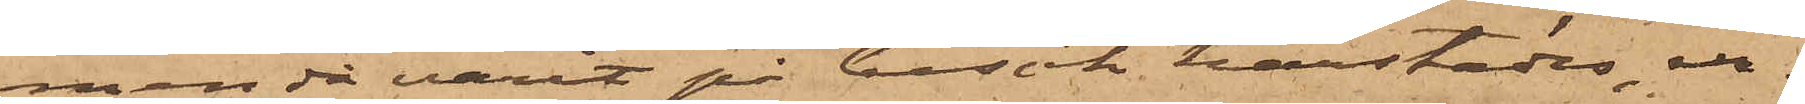men då varit på besök härstädes, er¬
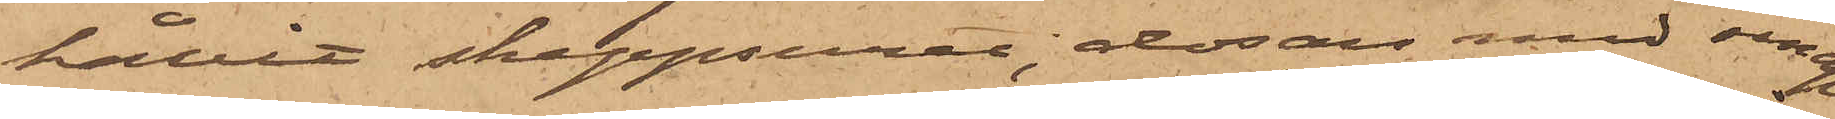hållit skeppsuret, dosan med senap
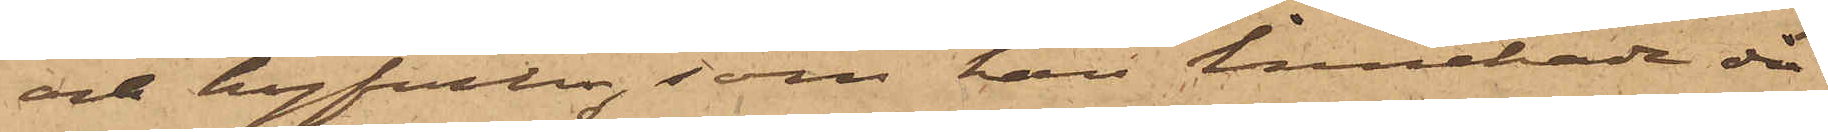och hyfveln, som han innehade då
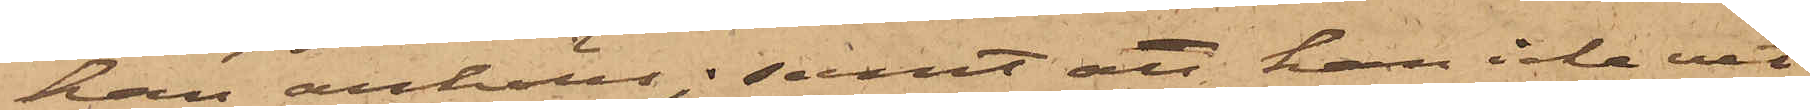han anhölls; samt att han icke vet
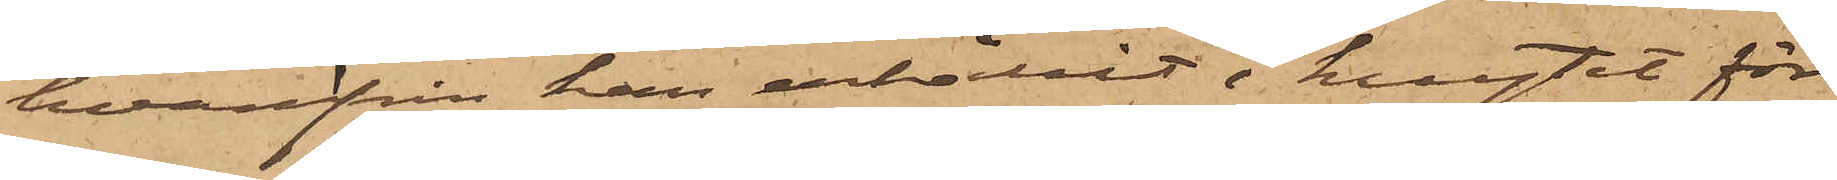hvarifrån han erhållit i knytet för¬
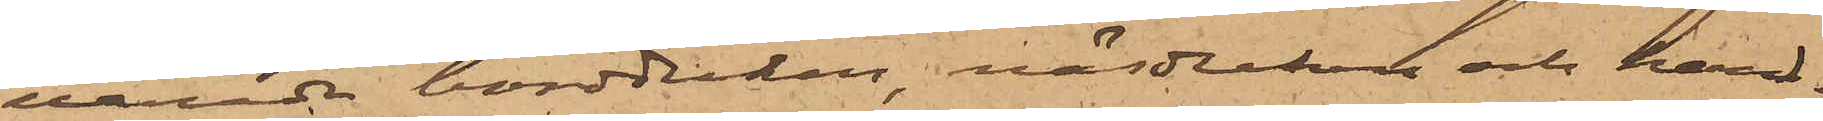varade bordduken, näsduken och hand¬
